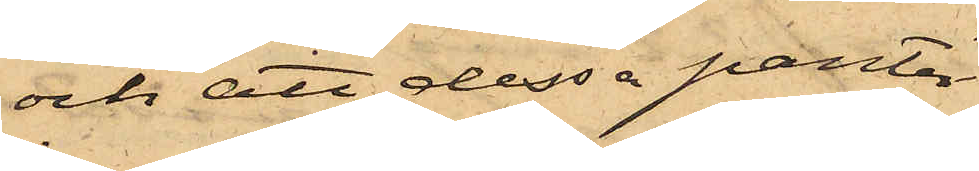och att dessa panter
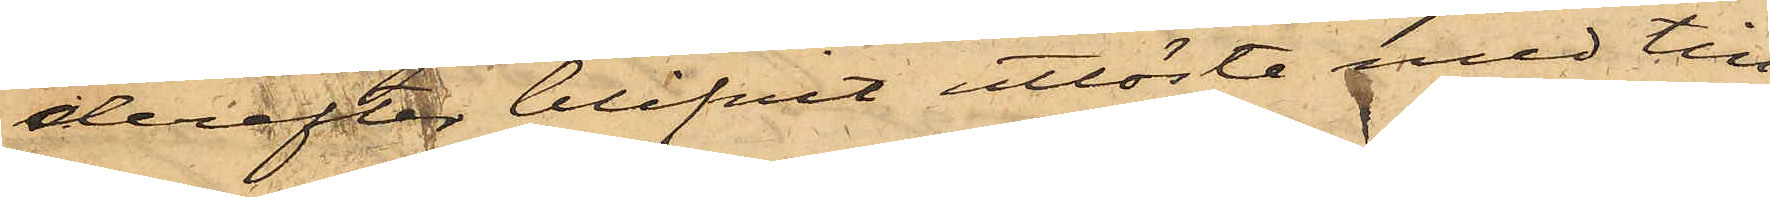derefter blifvit utlösta med till¬
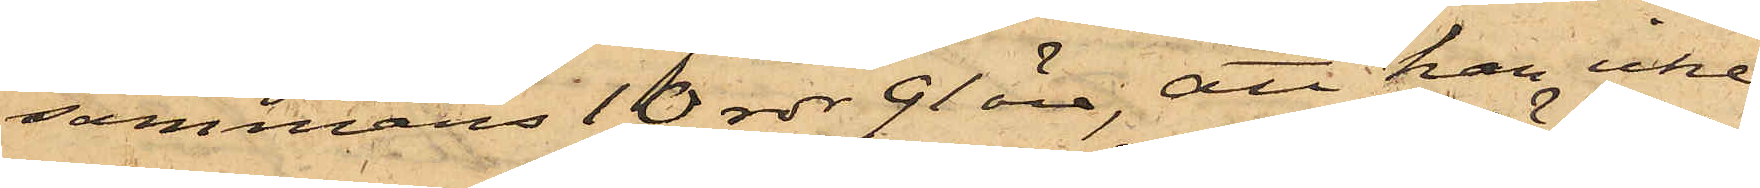sammans 10 rdr 91 öre, att han icke
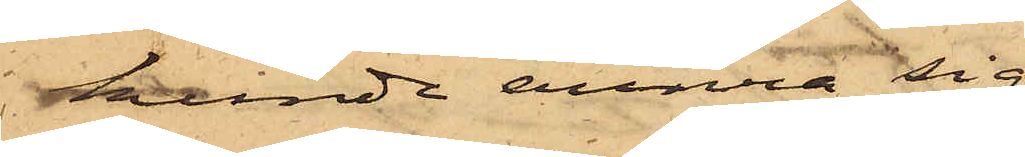kunde erinra sig
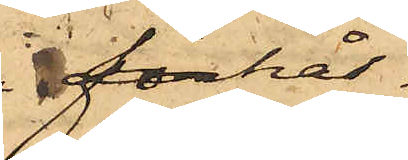förhål¬
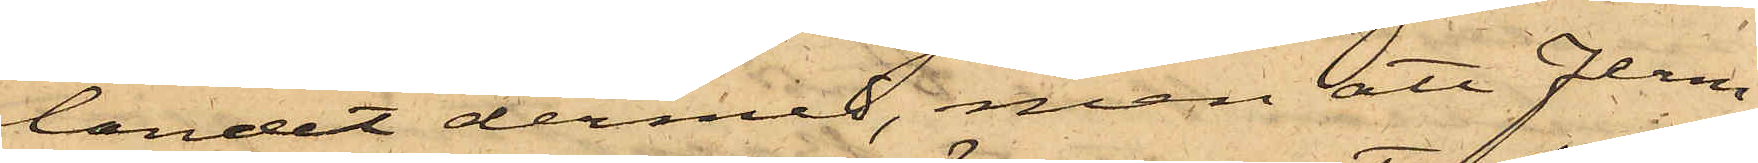landet dermed, men att Ferm
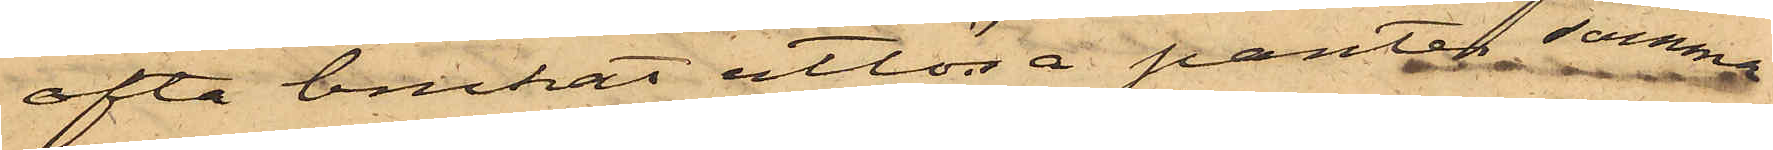ofta brukat utlösa panter samma
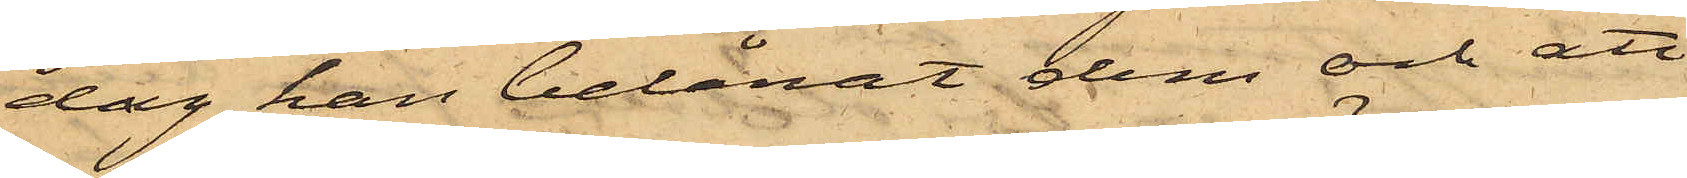dag han belånat dem och att
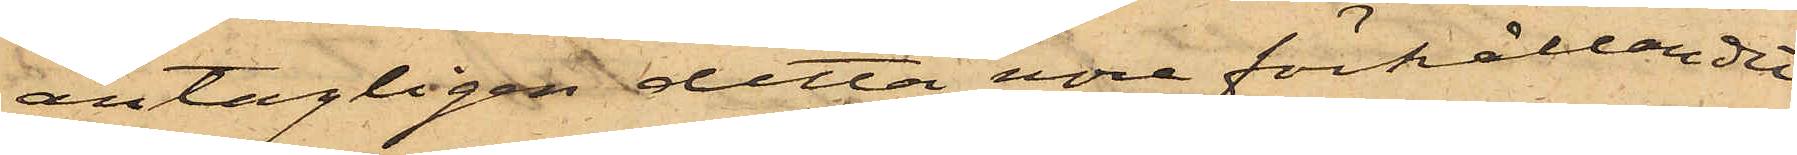antagligen detta vore förhållandet
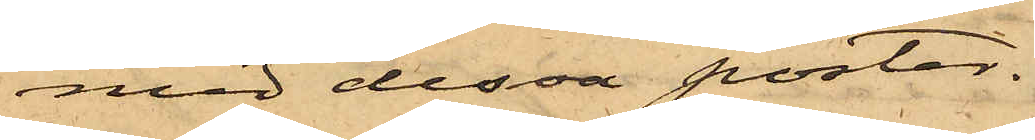med dessa poster.
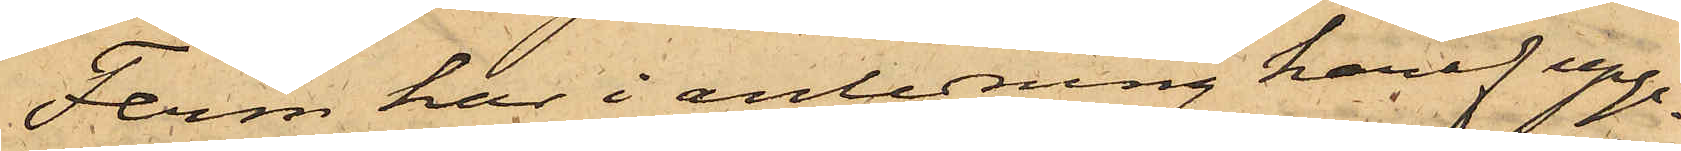Ferm har i anledning häraf upp¬
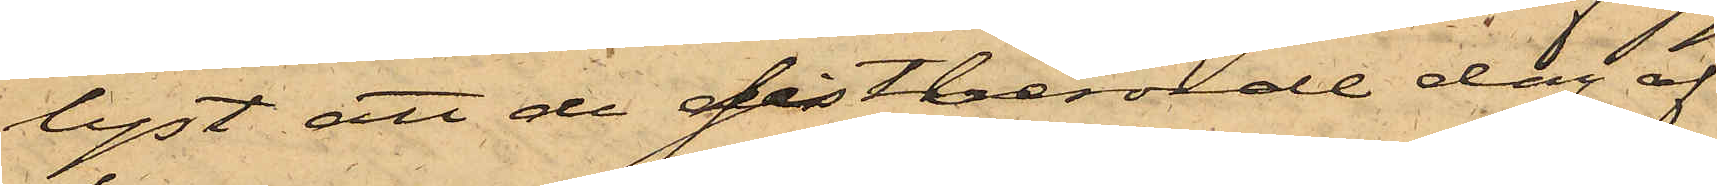lyst, att de sistberörde dag af
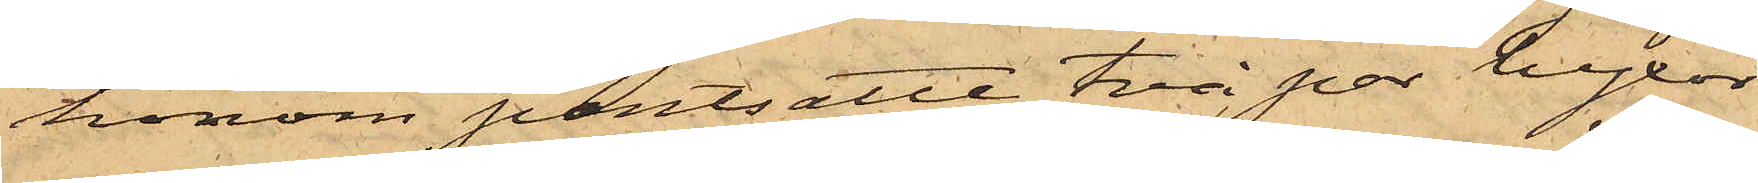honom pantsatte två par byxor
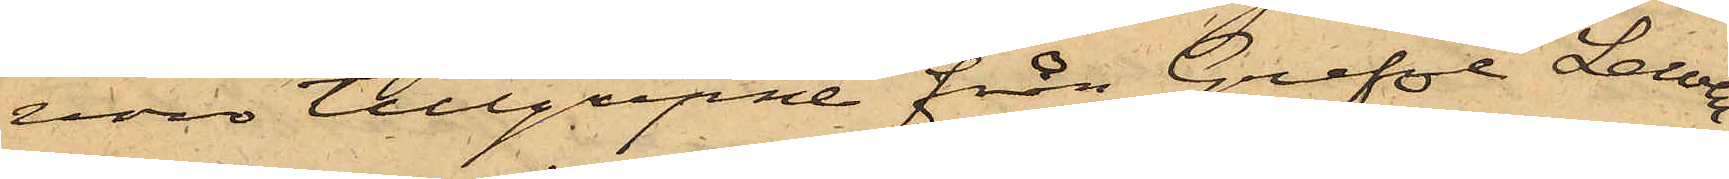voro tillgripne från Grefve Lewen¬
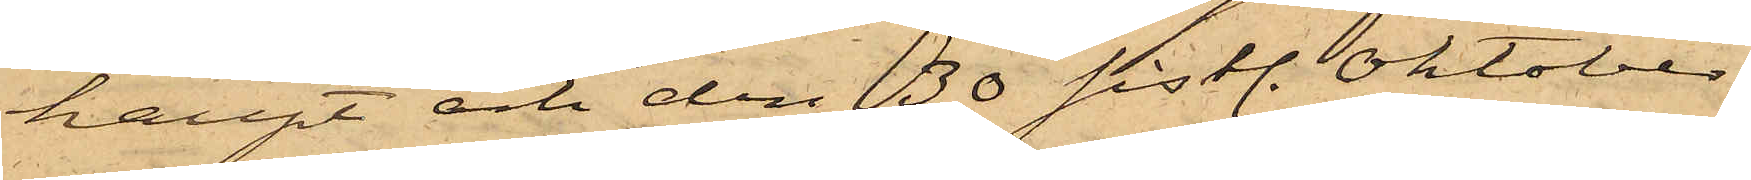haupt och den 30 sistl. Oktober
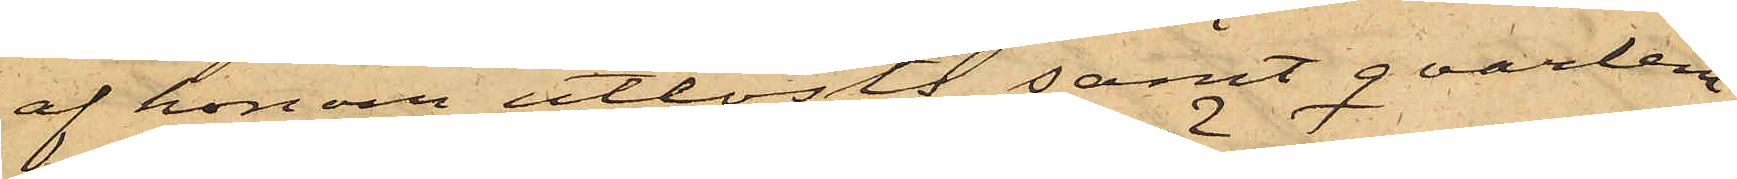af honom utlösts, samt qvarlem¬
